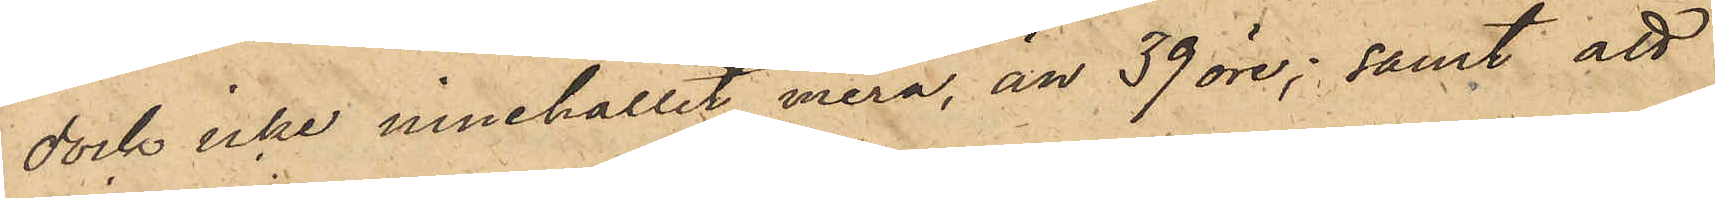dock icke innehållit mera än 39 öre; samt att
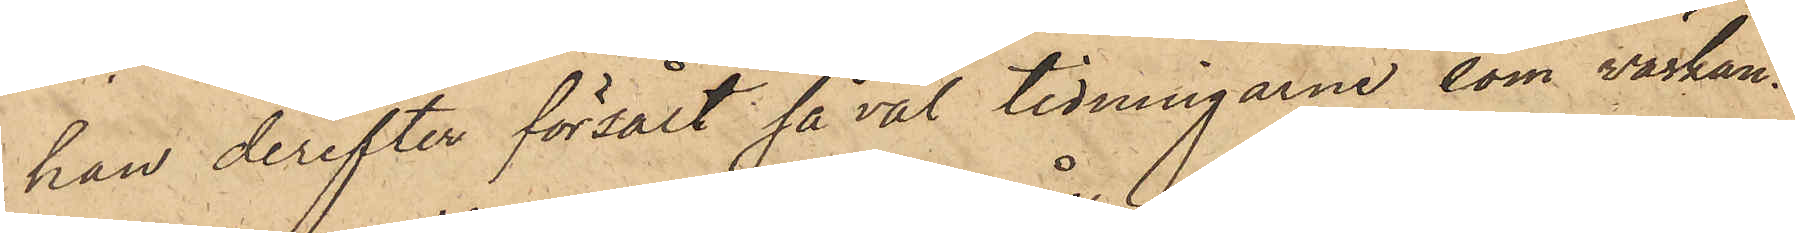han derefter försålt såväl tidningarne som väskan
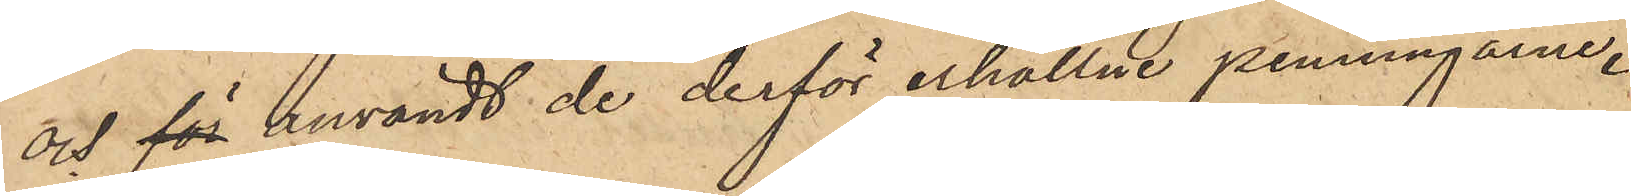och för användt de derför erhållne penningarne.
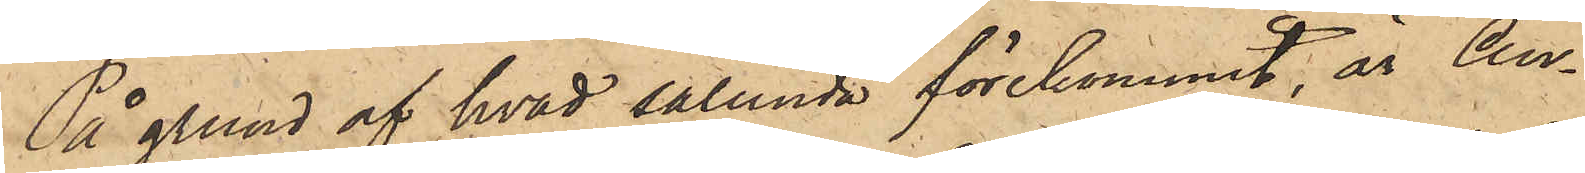På grund af hvad sålunda förekommit, är An¬
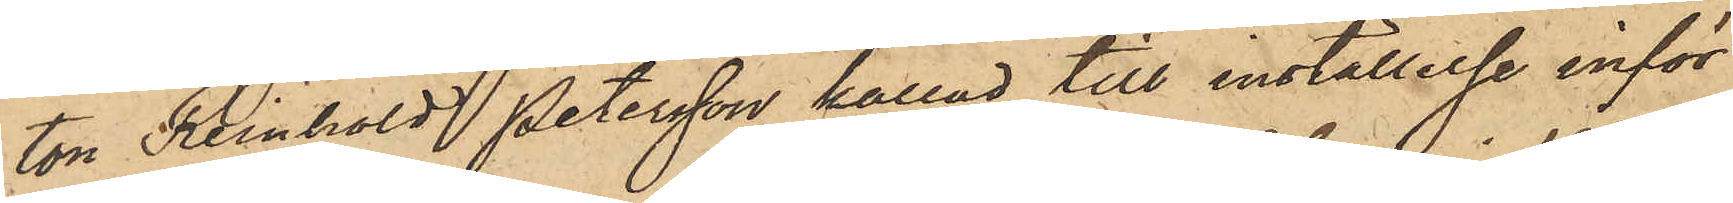ton Reinhold Petersson kallad till inställelse inför
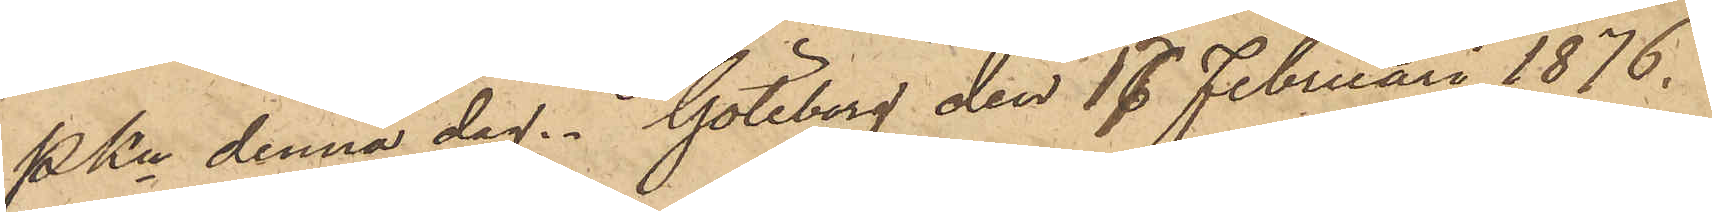Pkn denna dag. Göteborg den 17 Februari 1876.
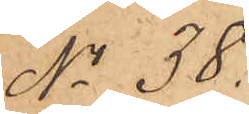No 38.
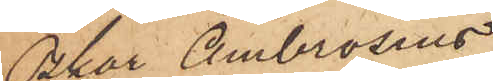Oskar Ambrosius
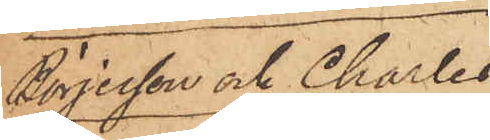Börjesson och Charles
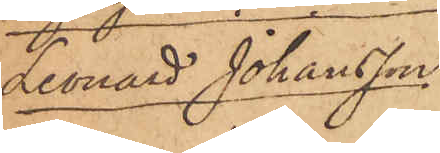Leonard Johansson
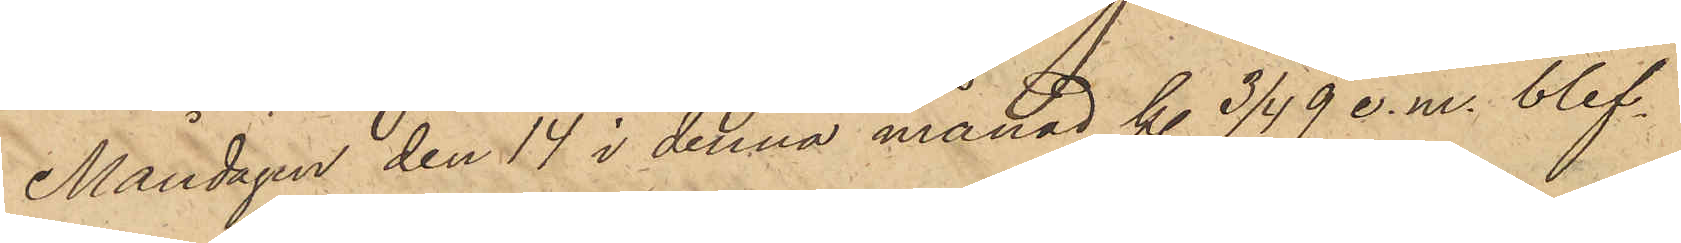Måndagen den 14 i denna månad kl. 3/4 9 e.m. blef¬
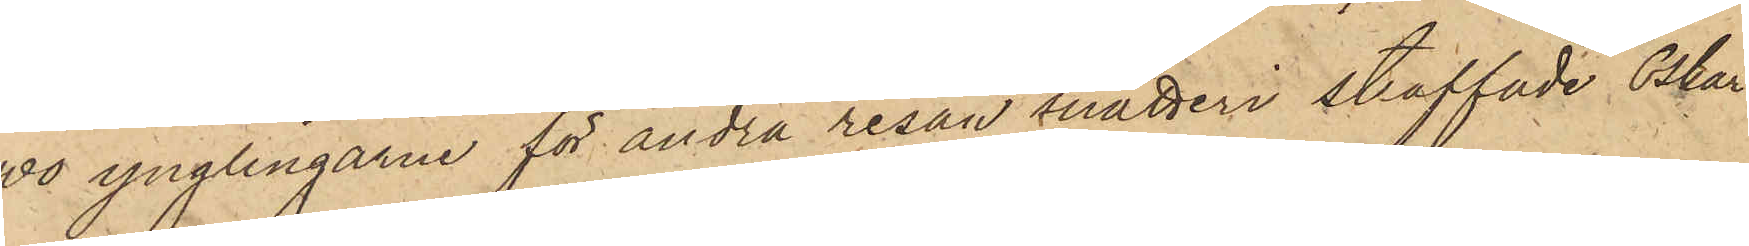vo ynglingarne för andra resan snatteri straffade Oskar
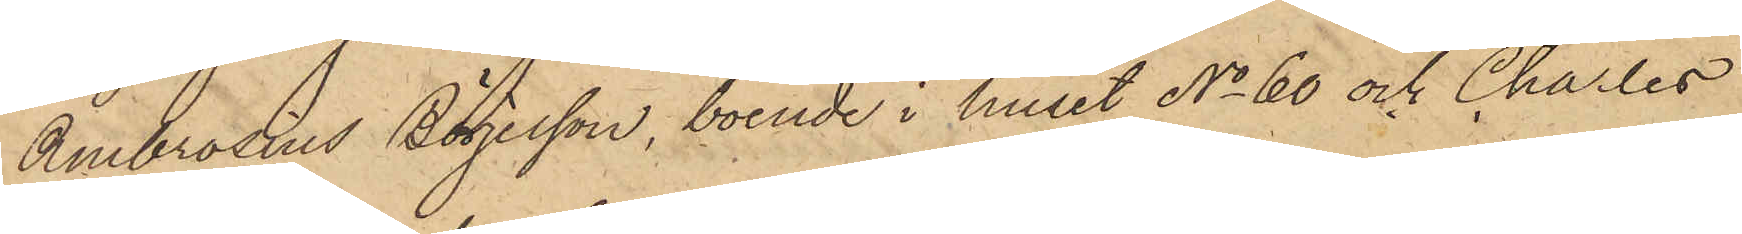Ambrosius Börjesson, boende i huset No 60 och Charles
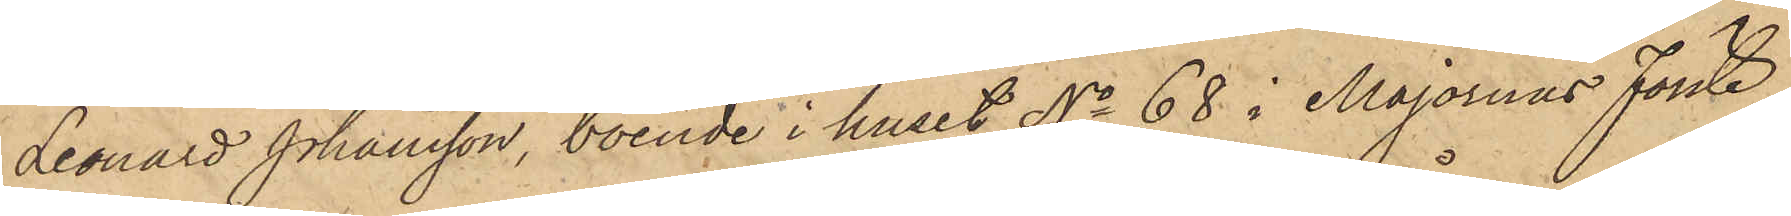Leonard Johansson, boende i huset No 68 i Majornas förste
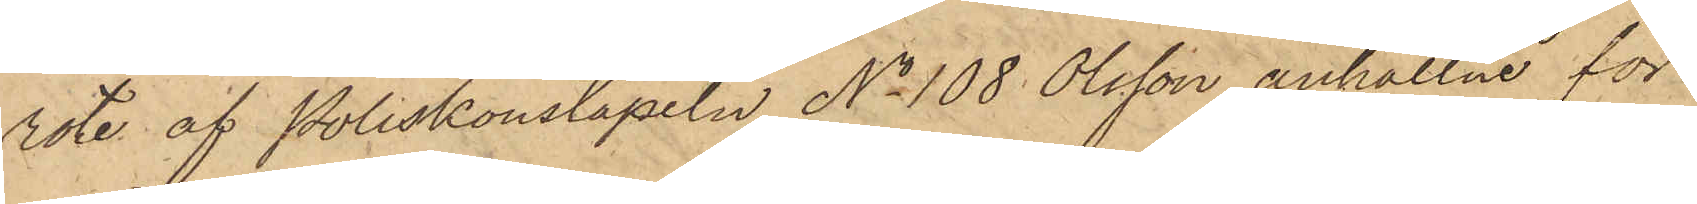rote, af Poliskonstapeln No 108 Olsson anhållne för
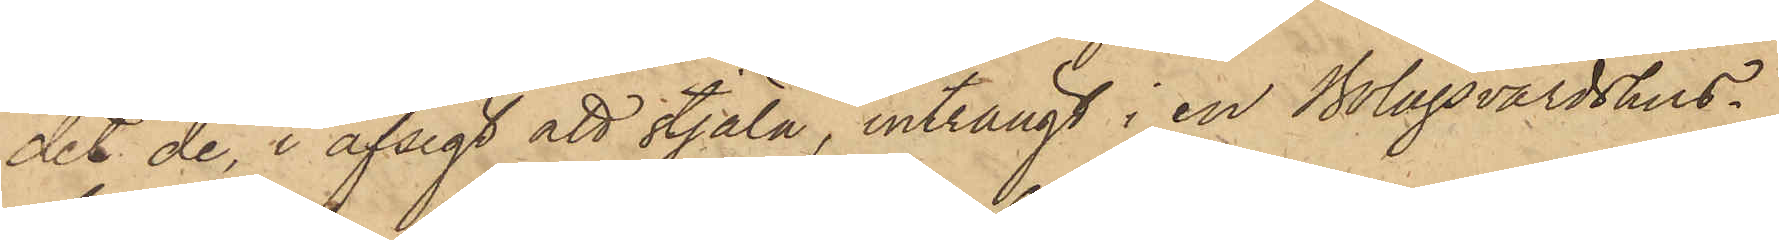det de, i afsigt att stjäla, inträngt i en Bolagsvärdshus¬
